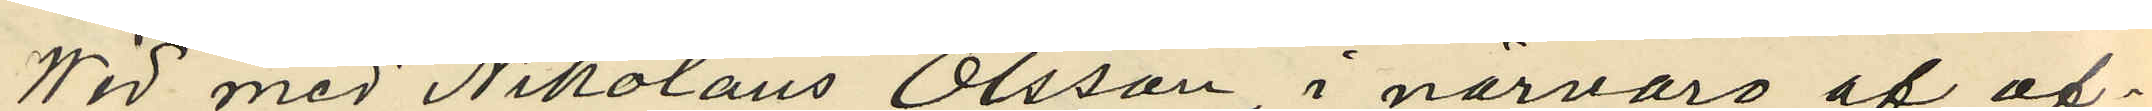Wid med Nikolaus Olsson i närvaro af of¬
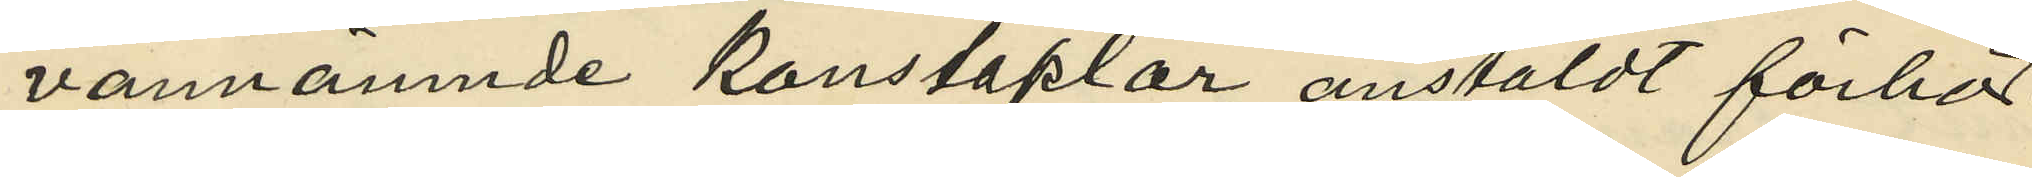vannämnde konstaplar anstäldt förhör
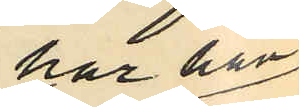har han
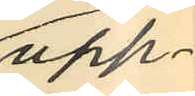upp¬
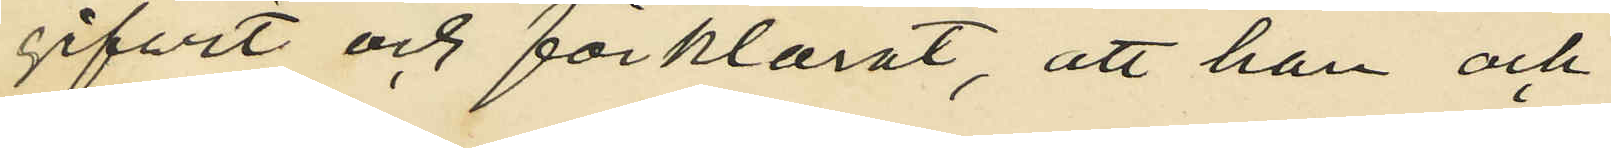gifvit och förklarat, att han och
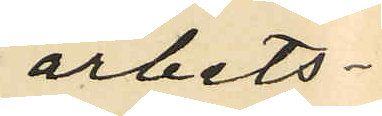arbets¬
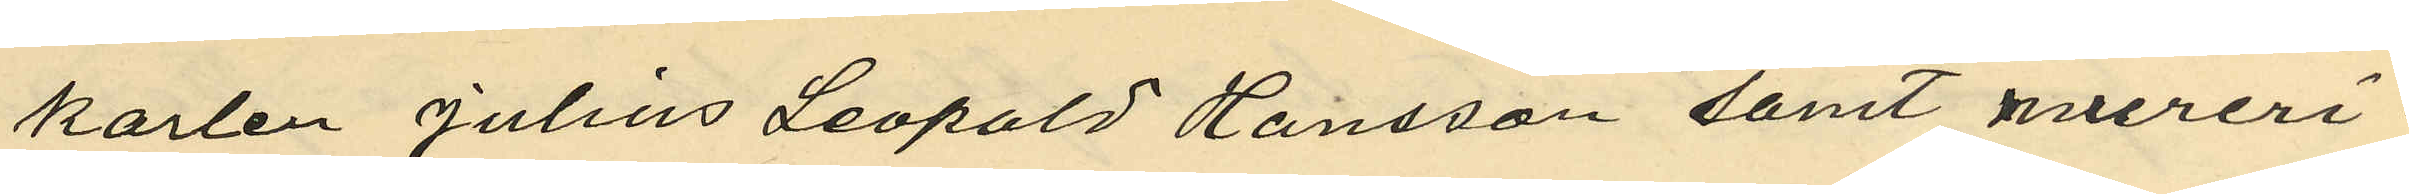karlen Julius Leopold Hansson samt mureri¬
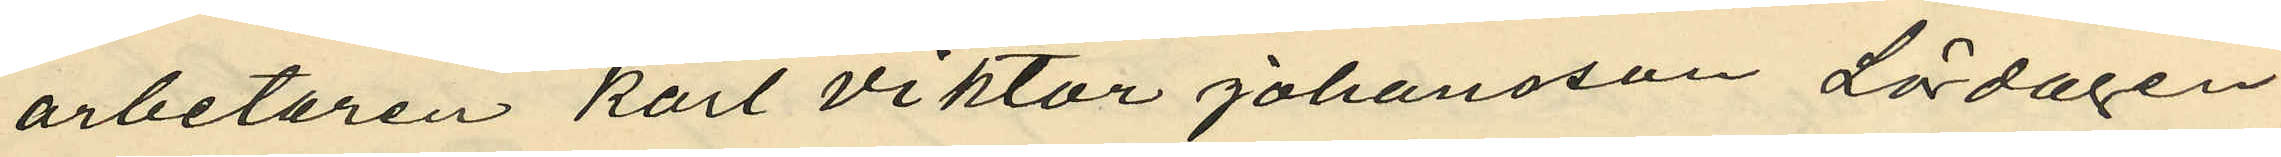arbetaren Karl Viktor Johansson Lördagen
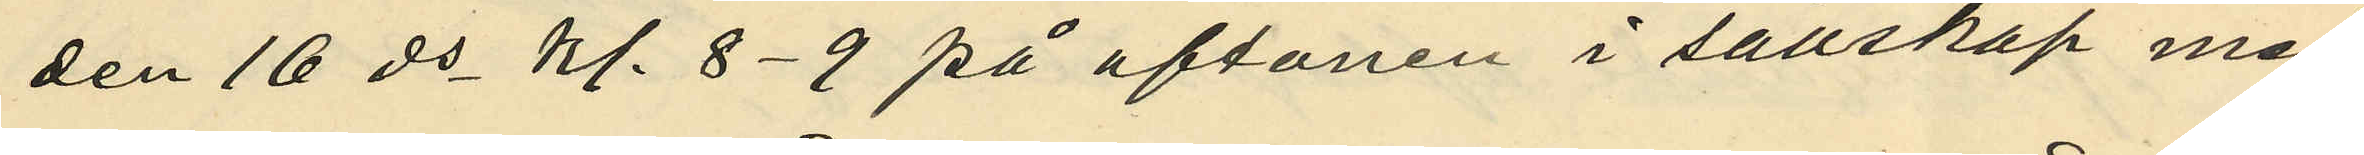den 16 ds kl. 8-9 på aftonen i sällskap med
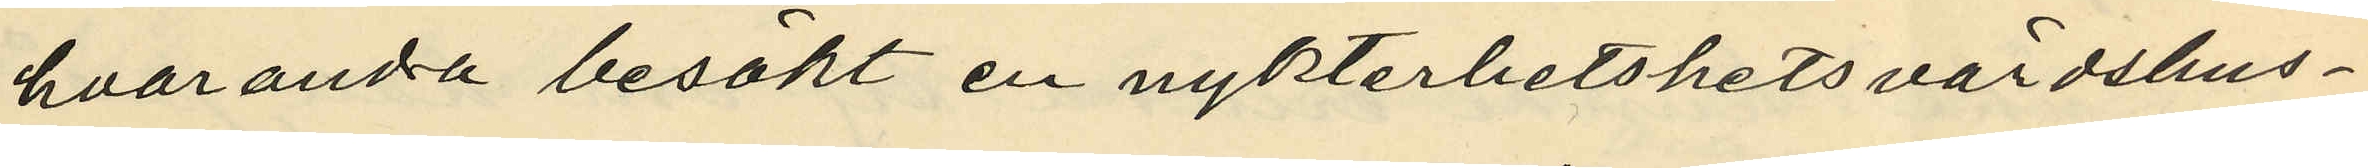hvarandra besökt en nykterhetshets värdshus¬
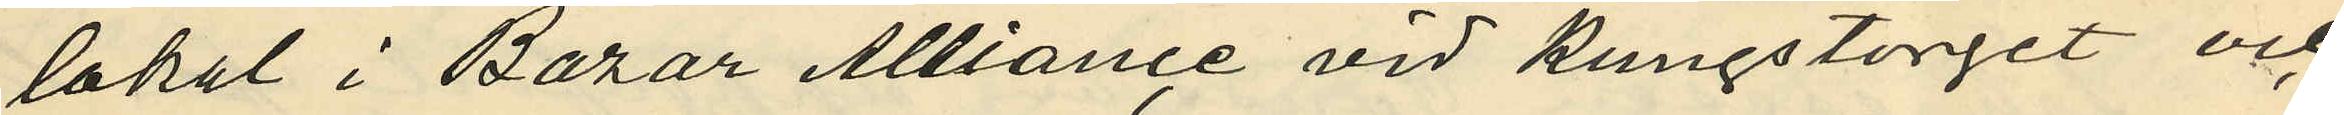lokal i Bazar Alliance vid Kungstorget och
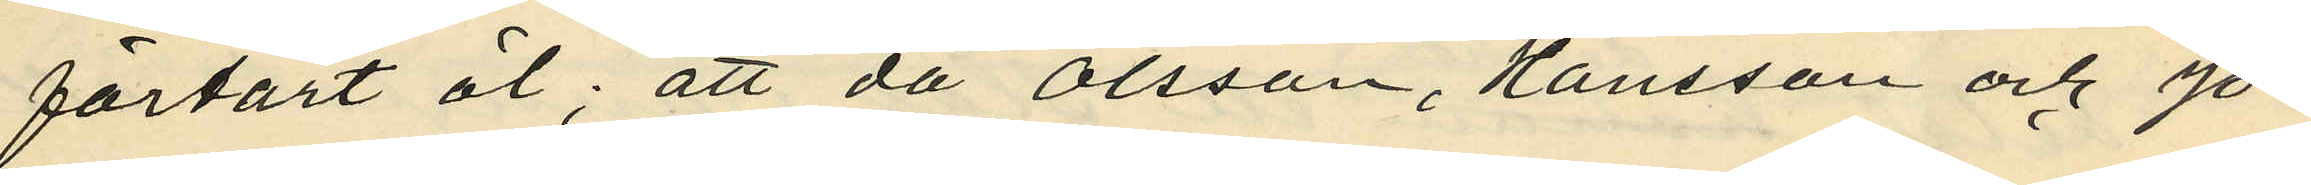förtärt öl; att då Olsson, Hansson och Jo¬
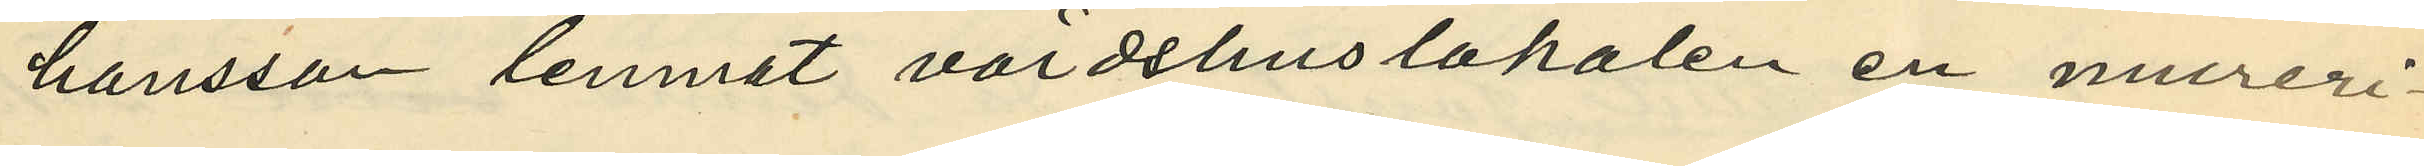hansson lemnat värdshuslokalen en mureri¬
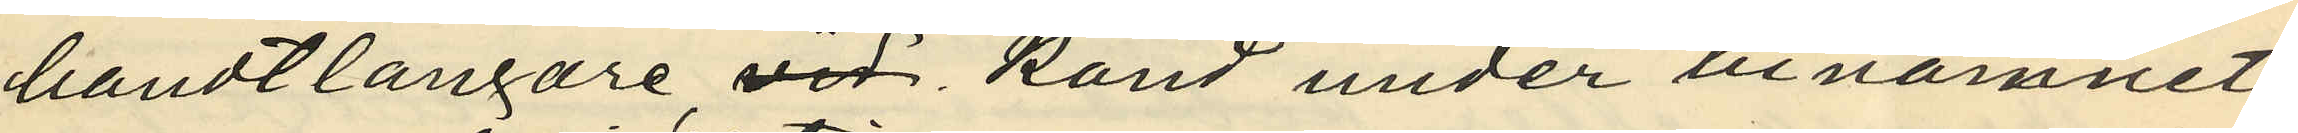handtlangare vid känd under binamnet
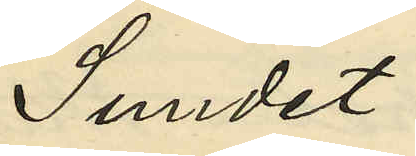Sundet
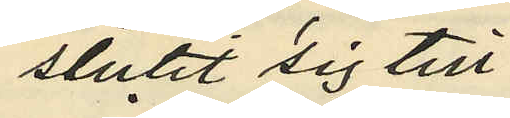slutit sig till
